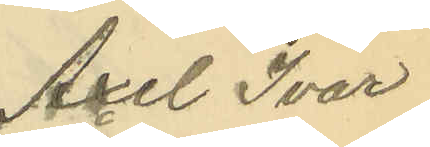Axel Ivar
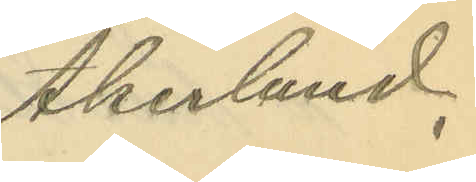Åkerlund.
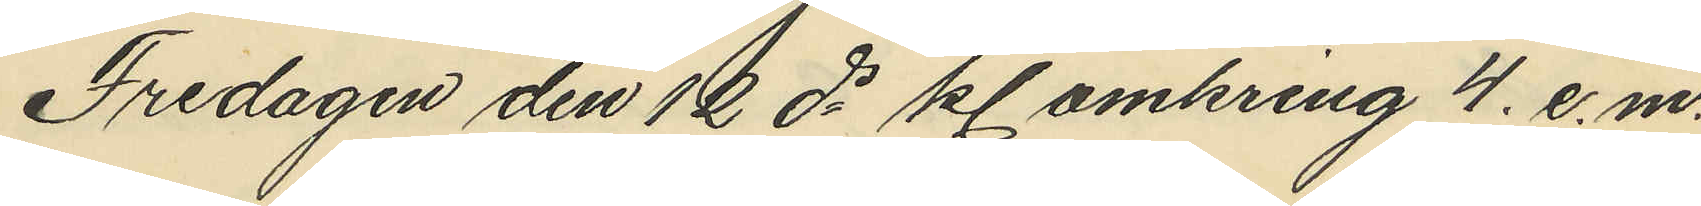Fredagen den 12 ds kl omkring 4. e.m.
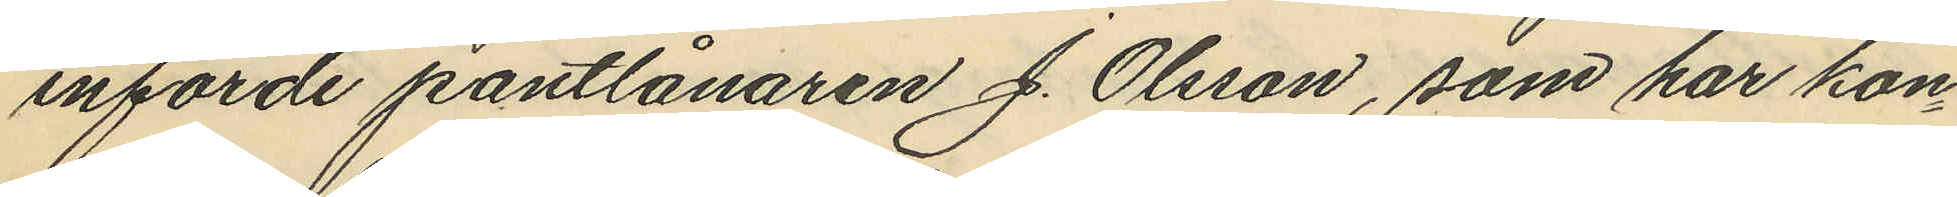införde pantlånaren J. Olsson, som har kon¬
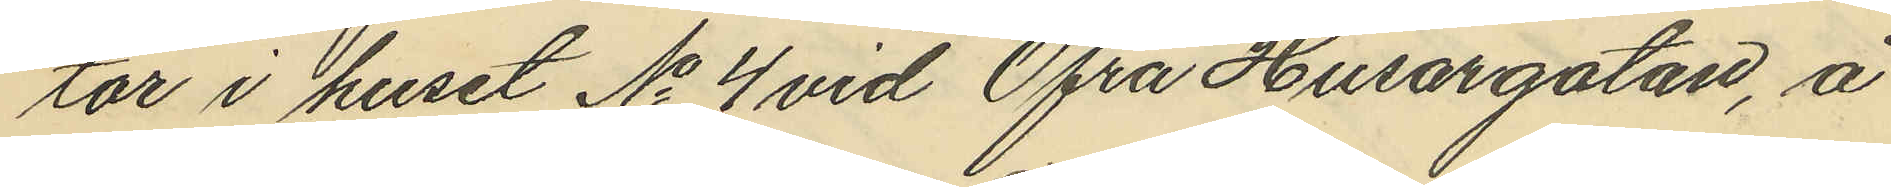tor i huset No 4 vid Öfra Husargatan, å
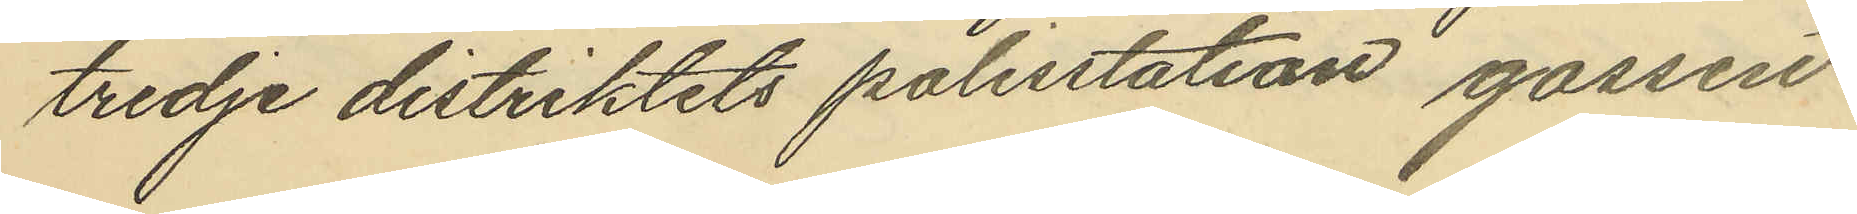tredje distriktets polisstation gossen
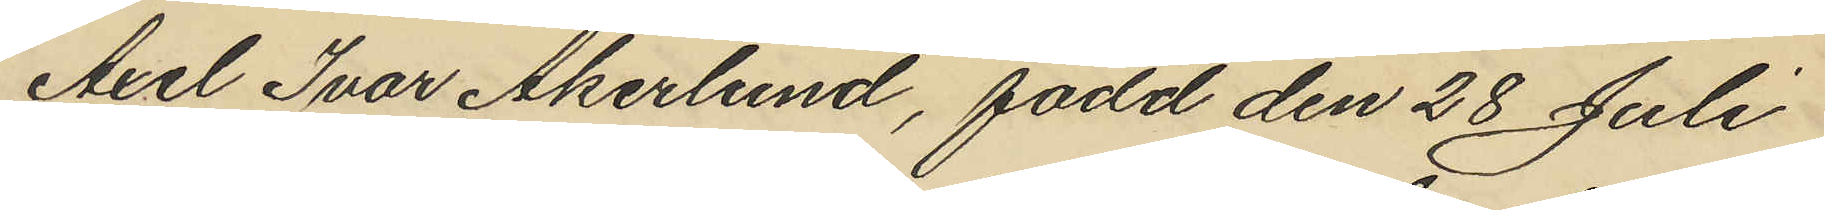Axel Ivar Åkerlund, född den 28 Juli
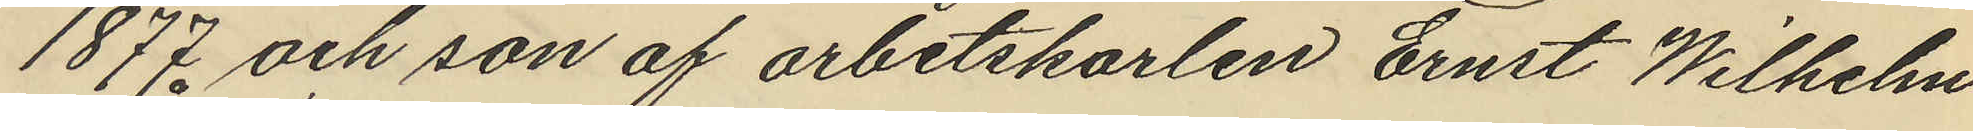1877 och son af arbetskarlen Ernst Wilhelm
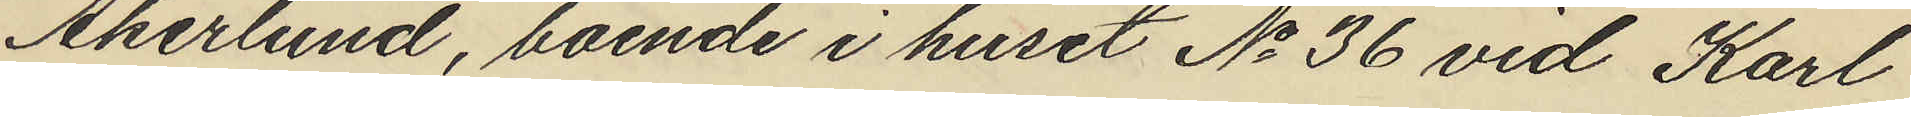Åkerlund, boende i huset No 36 vid Karl
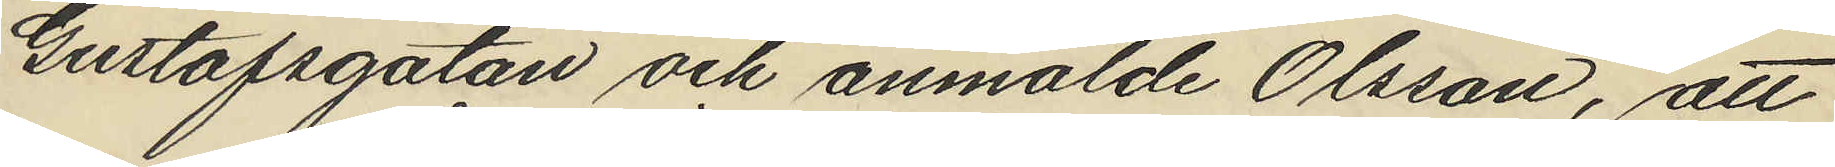Gustafsgatan och anmälde Olsson, att
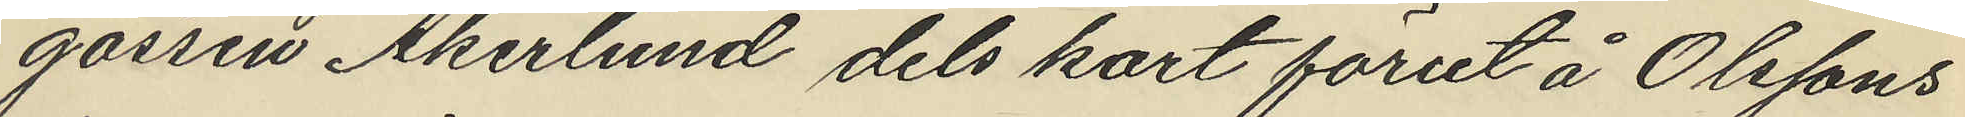gossen Åkerlund dels kort förut å Olssons
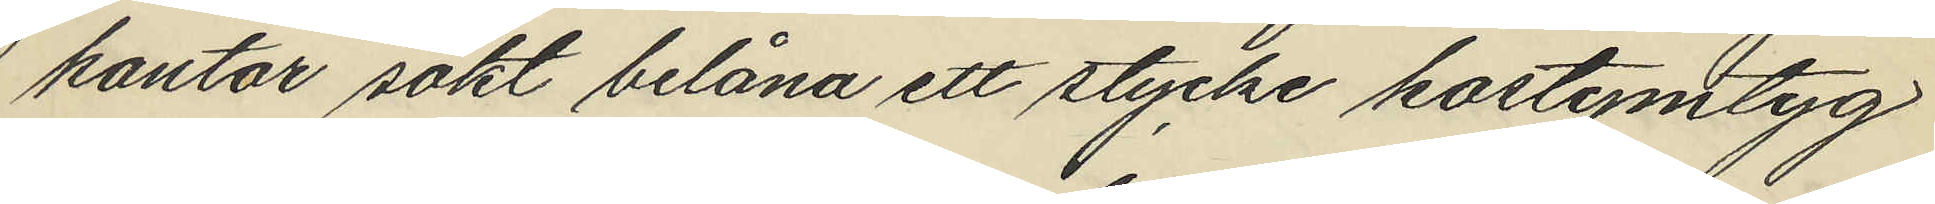kontor sökt belåna ett stycke kostymtyg
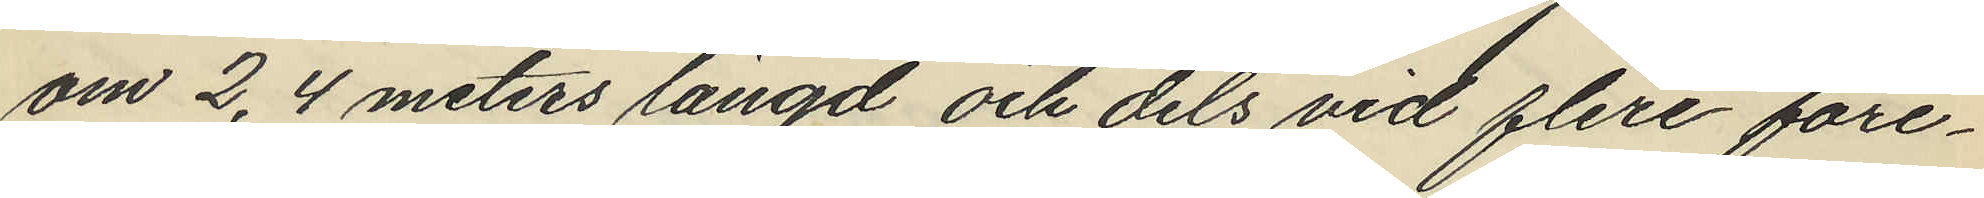om 2,4 meters längd och dels vid flere före¬
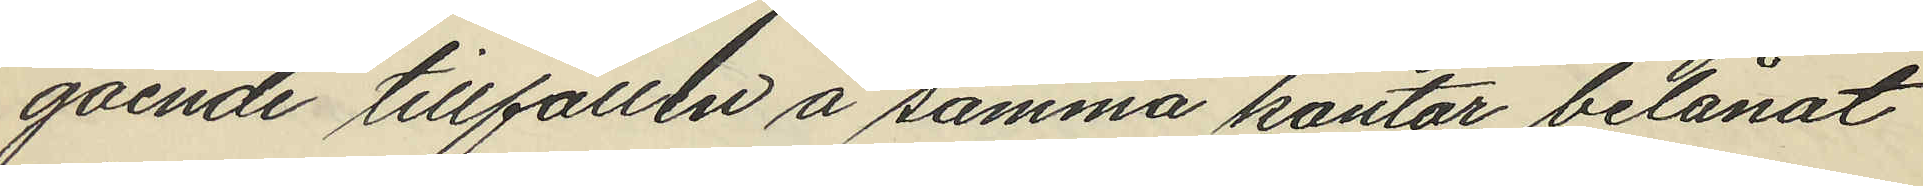gående tillfällen å samma kontor belånat
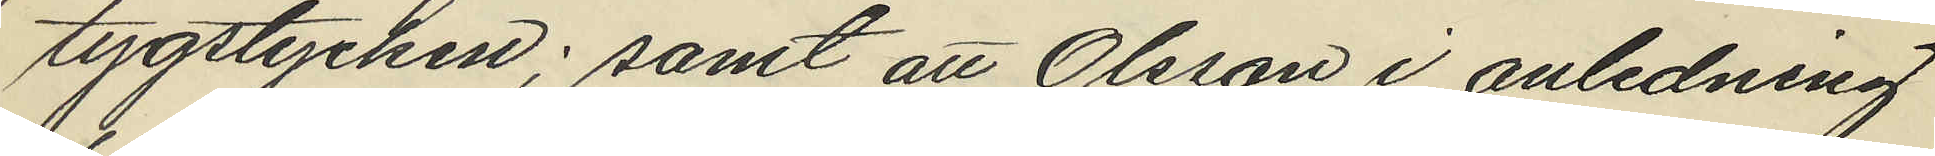tygstycken; samt att Olsson i anledning
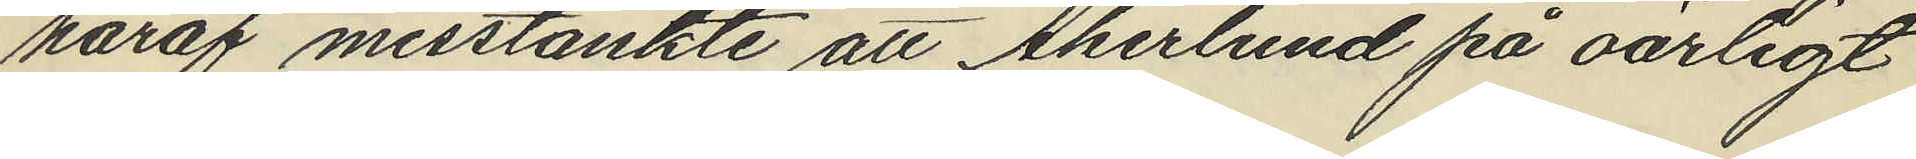häraf misstänkte att Åkerlund på oärligt
